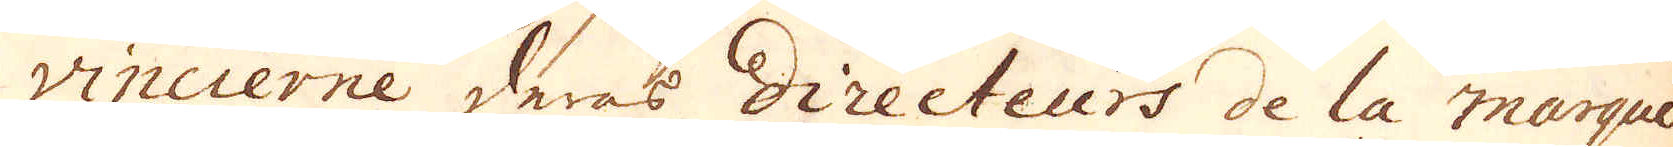vincierne deras Directeurs de la marque
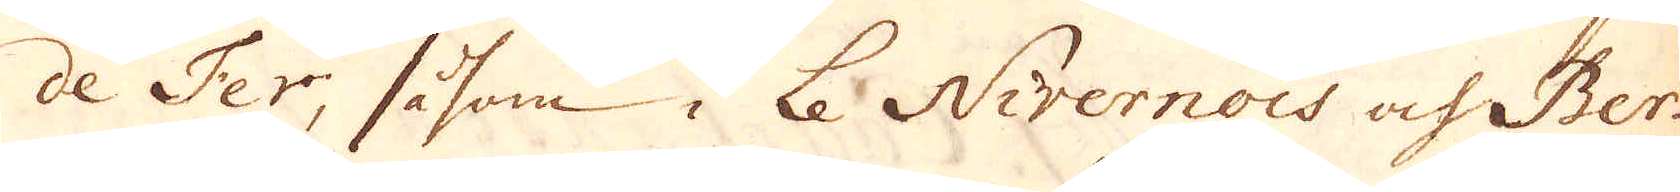de Fer, såsom i Le Nivernois och Ber-
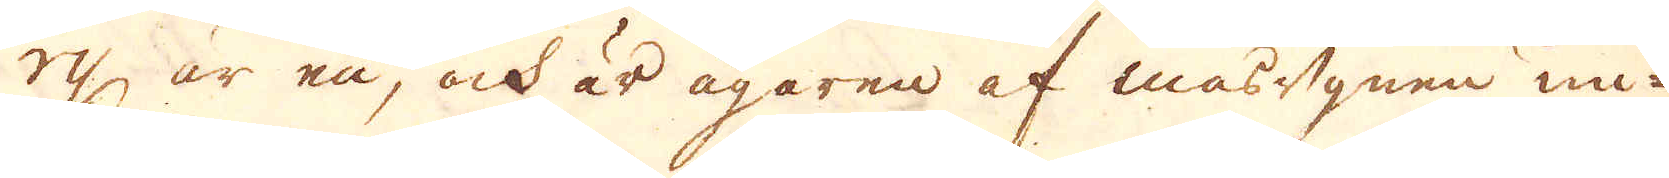ry är en, och är ägare af masugnen un-
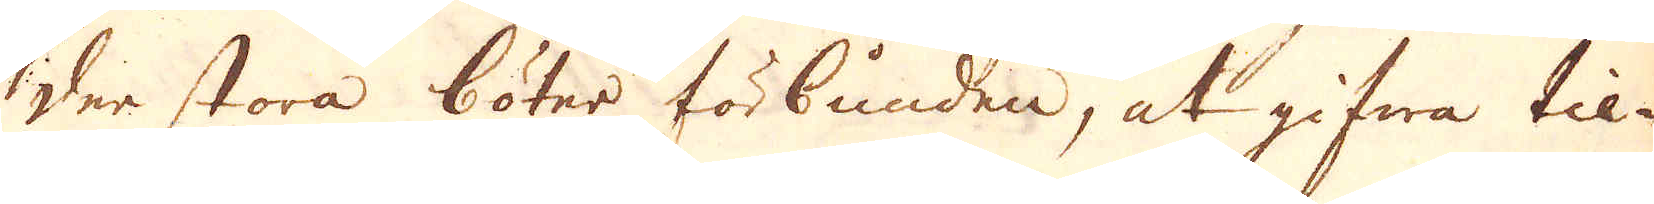der stora böter förbunden, at gifwa til-
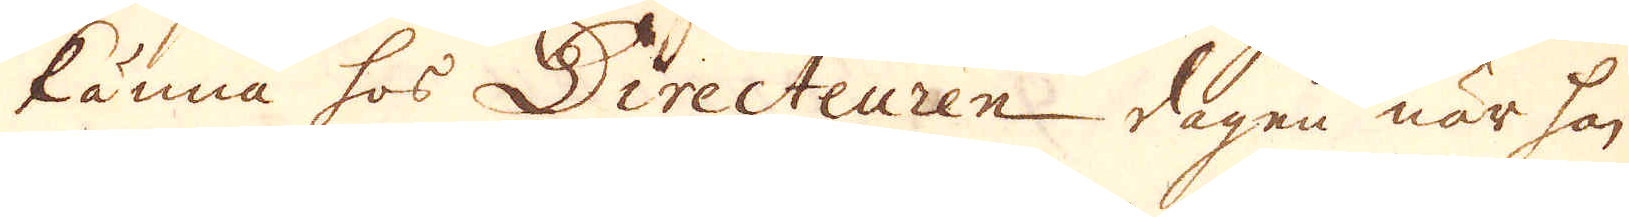känna hos Directeuren dagen när han
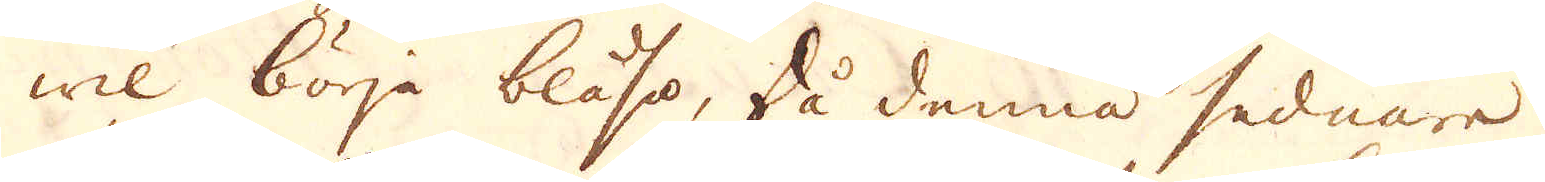wil börja blåsa. Då denna sednare
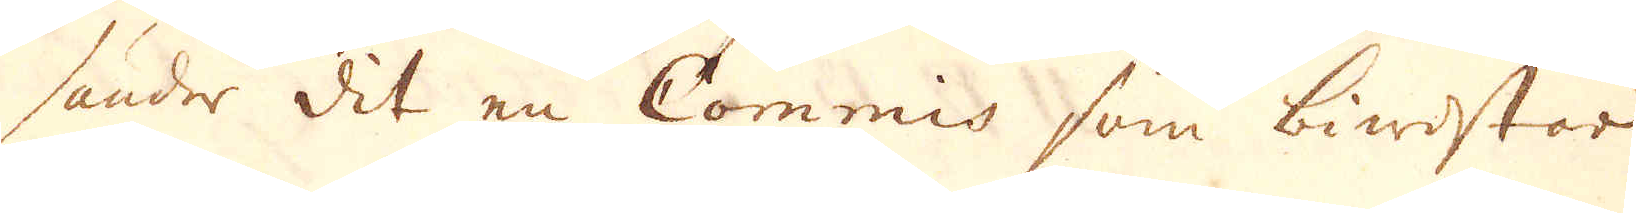sänder dit en Commis som biwistar
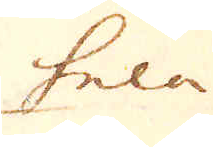hela
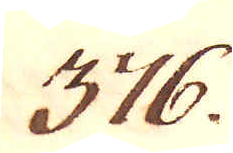376.
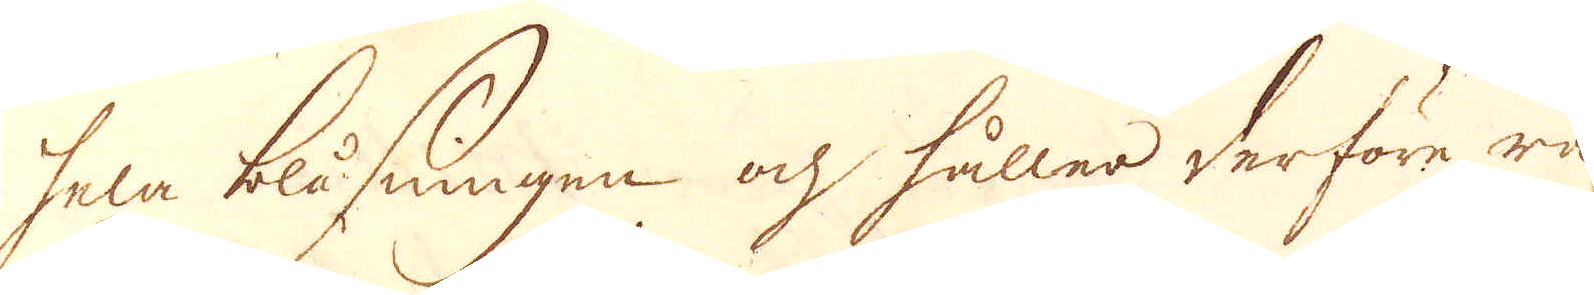hela blåsningen och hålles derföre rä-
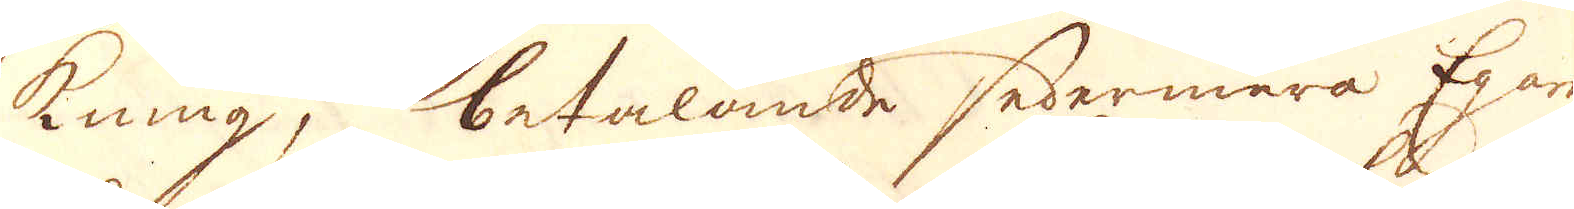kning, betalande sedermera Egaren
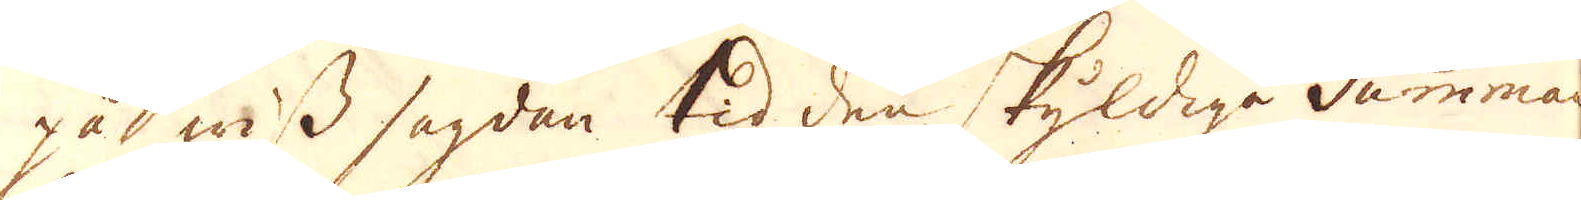på wiss sagdan tid den skyldige Summan.
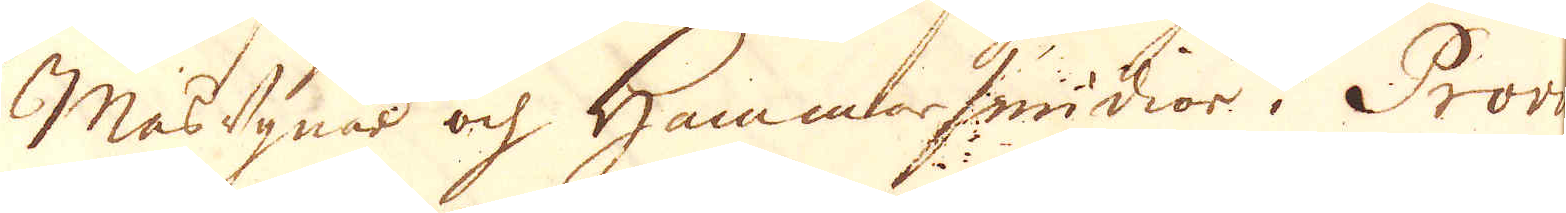Masugnar och Hammarsmidior i Provin-
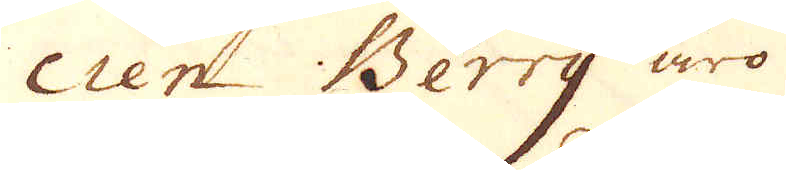cien Berry äro
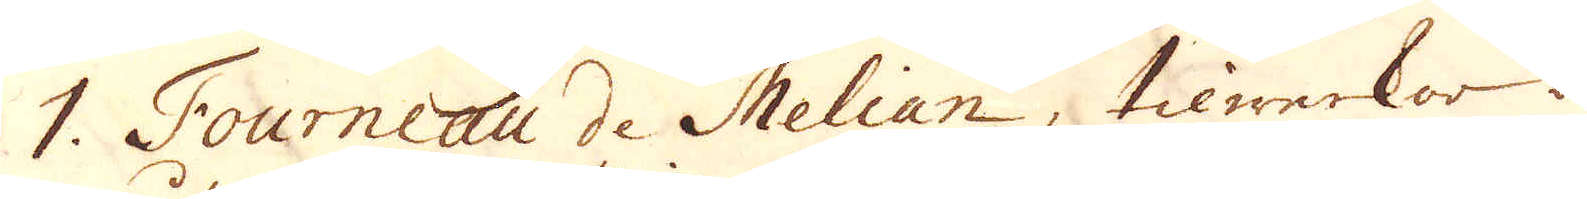1. Fourneau de Melian, tilwerkar om
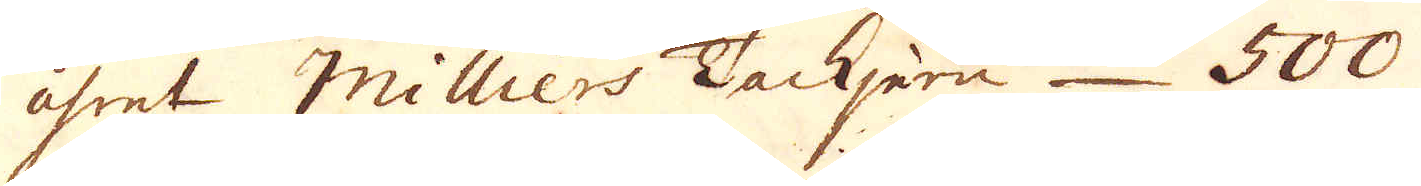åhret Milliers Tackjern 500
